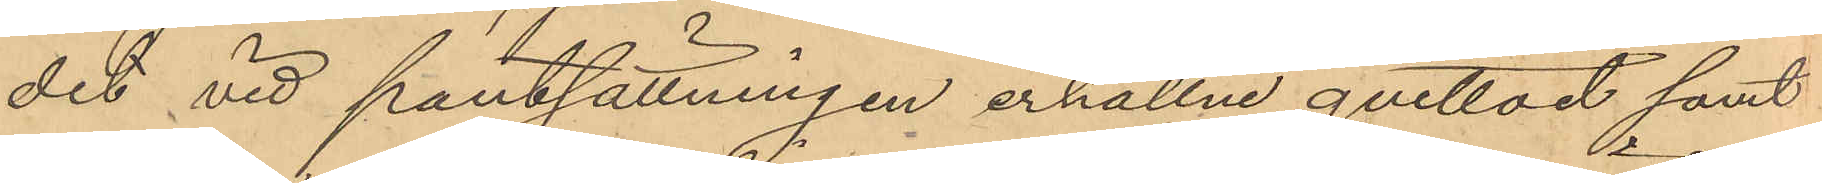det vid pantsättningen erhållne qvittot samt
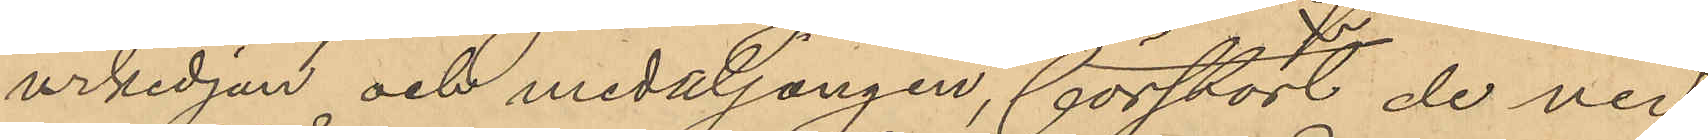urkedjan och medaljongen, förstört de ned
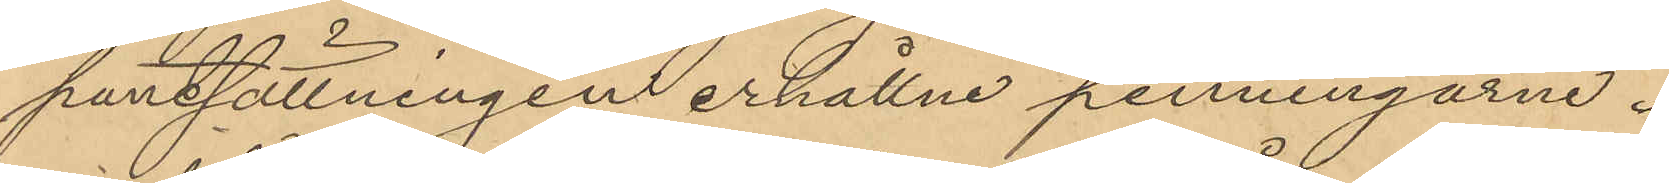pantsättningen erhållne penningarne.
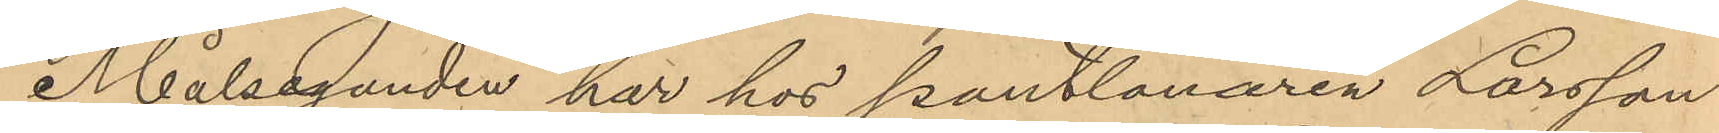Målseganden har hos pantlånaren Larsson
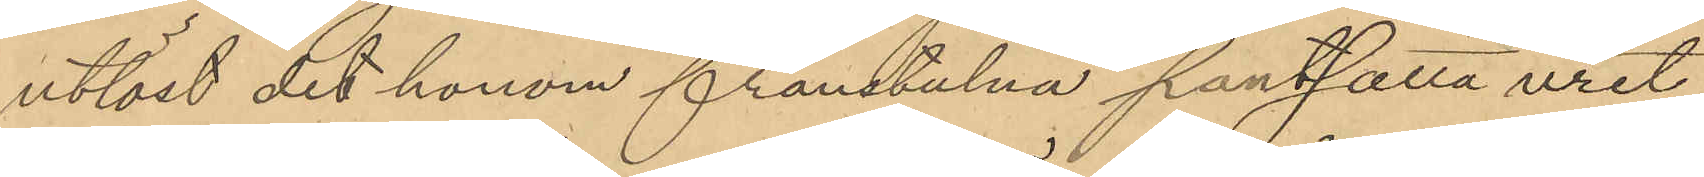utlöst det honom frånstulna pantsatta uret
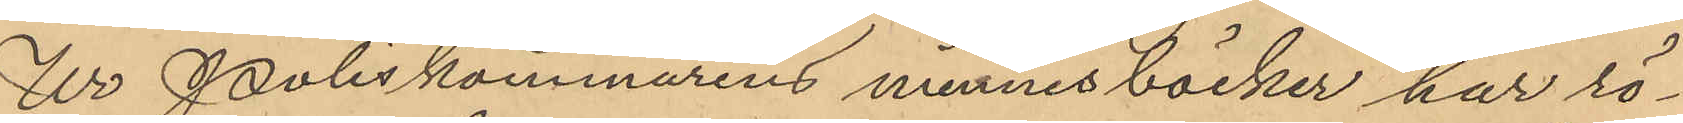Ur Poliskammarens minnesböcker har rö¬
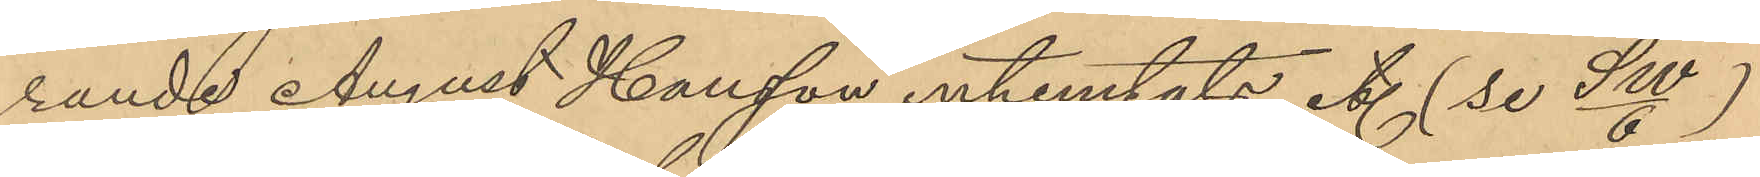rande August Hansson inhemtats etc. (se SW/6)
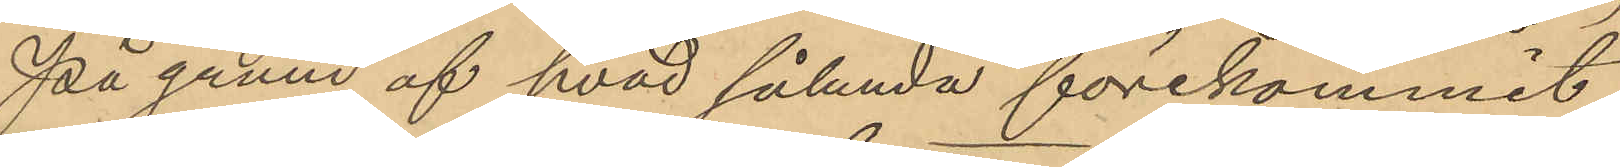På grund af hvad sålunda förekommit,
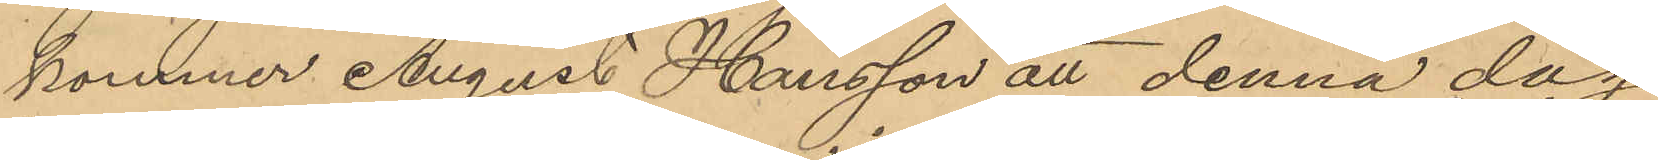kommer August Hansson att denna dag
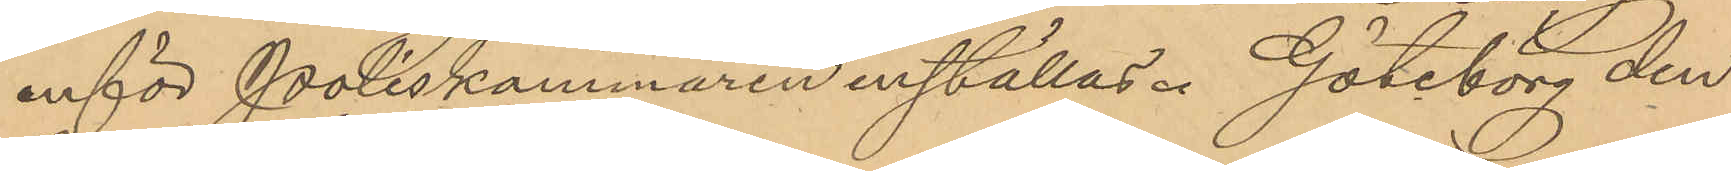inför Poliskammaren inställas. Göteborg den
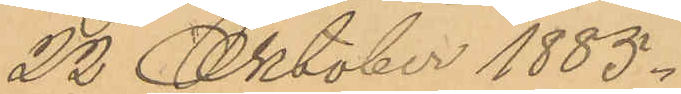22 Oktober 1885.
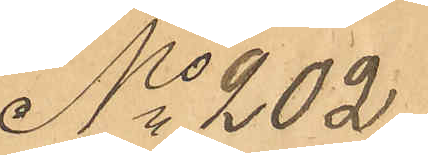No 202
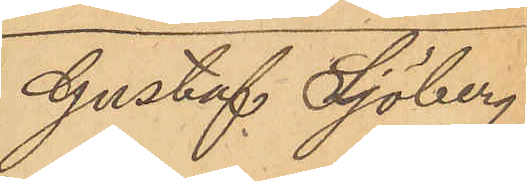Gustaf Sjöberg
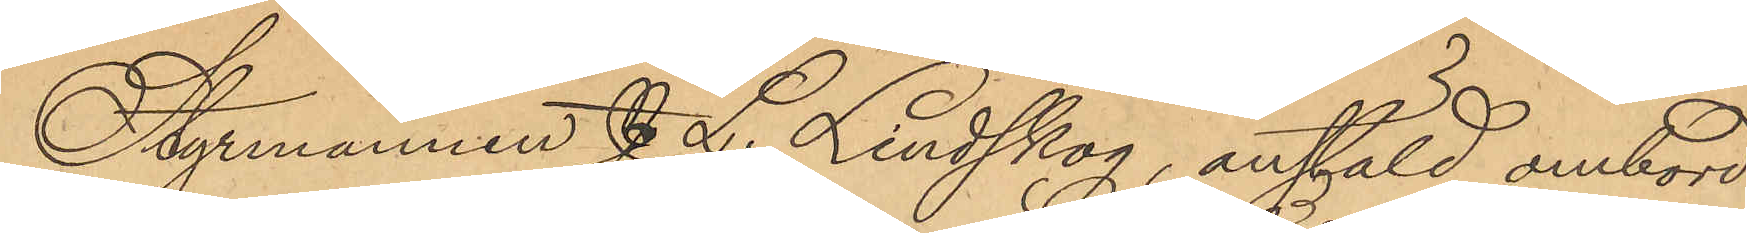Stymannen J. L. Lindskog, anställd ombord
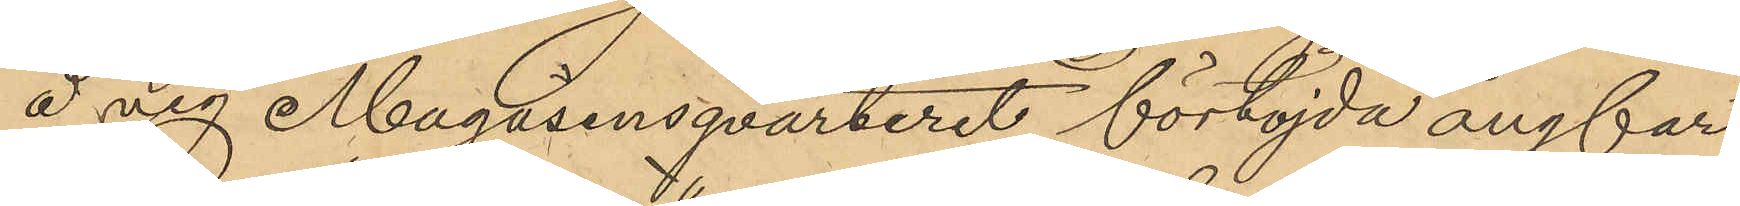å vig Magasinsqvarteret förtöjda ångfar¬
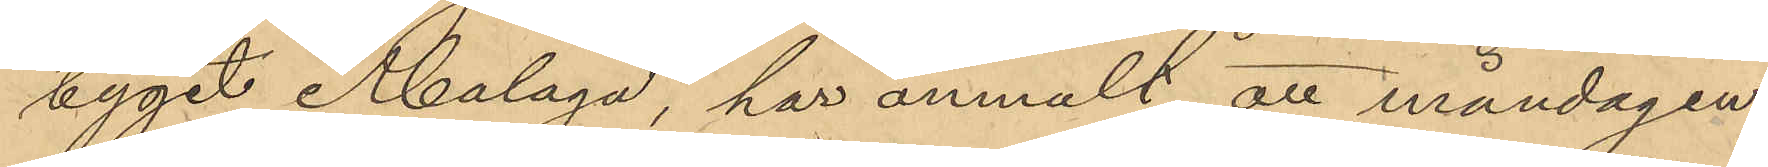tyget "Malaga", har anmält att måndagen
